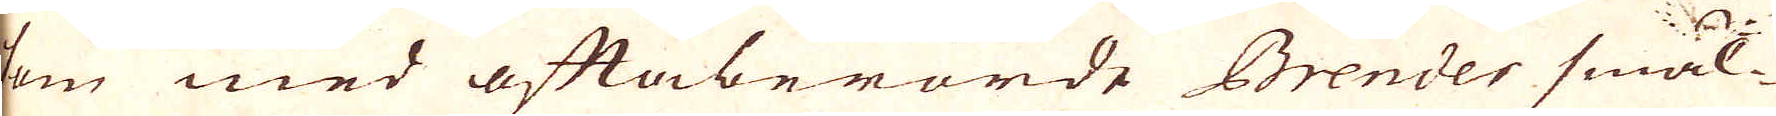som med oftaberörde Brender smäl-
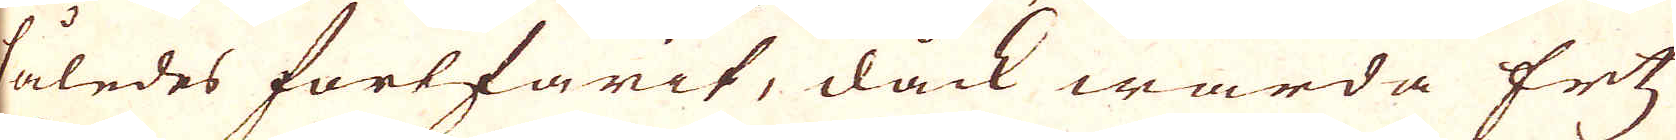således fortfarit, dock warda Ertz
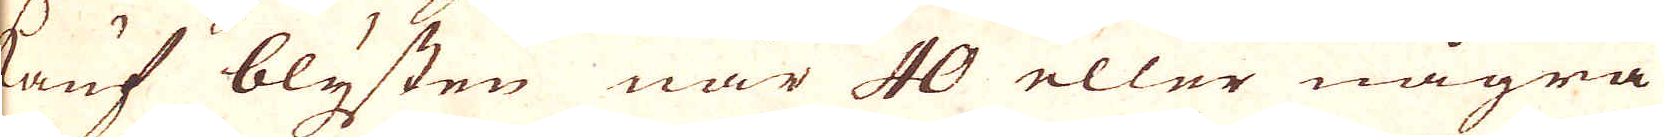kauf blysten när 40 eller några
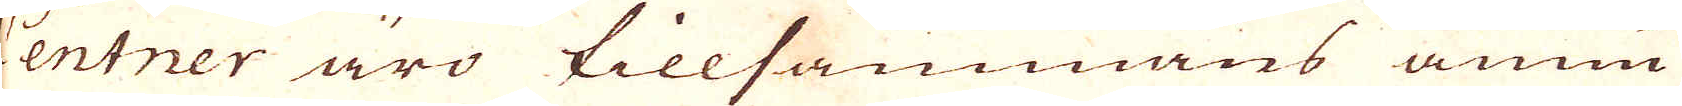Centner äro tillsammans ännu
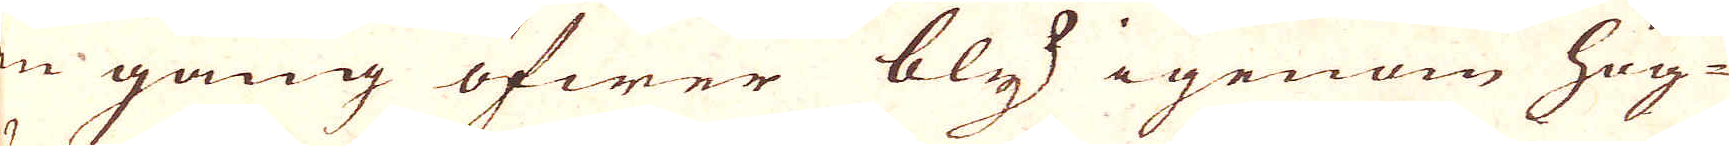en gång öfwer bly igenom hög-
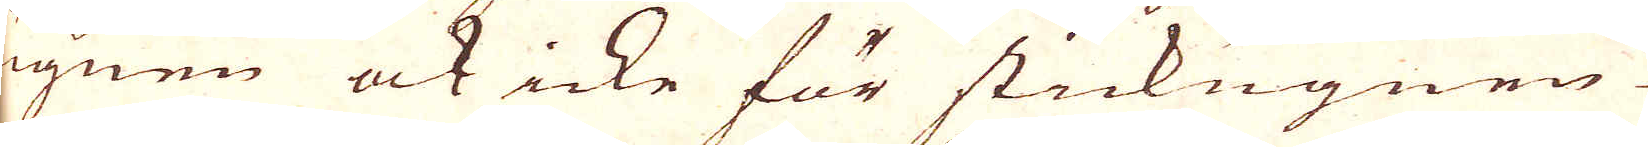ugnen ock icke för stickugnen
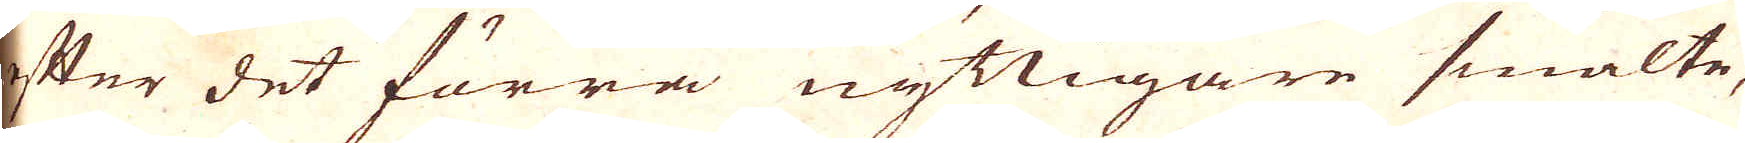efter det förra nyttigare smälte,
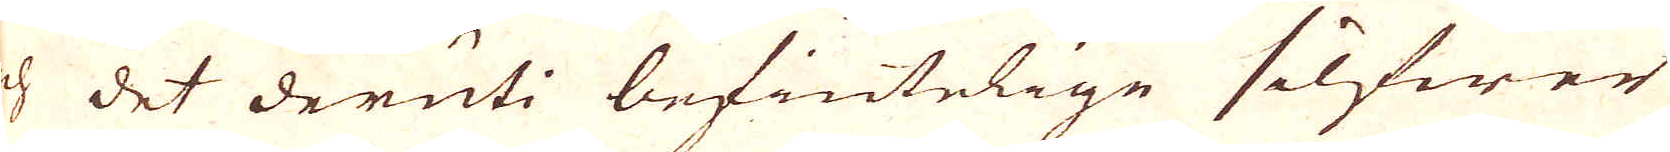och det deruti befintelige silfwer
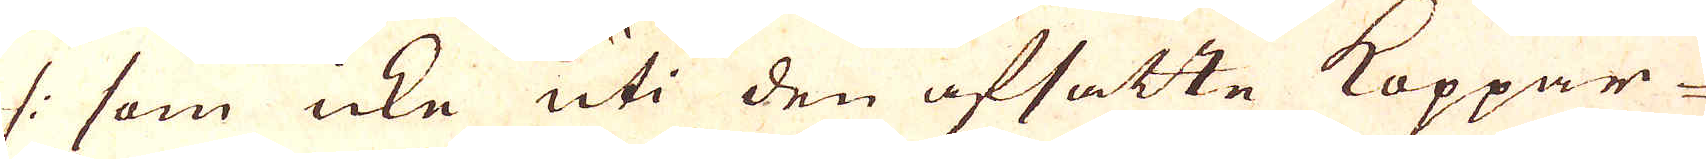/: som icke uti den afsatte Koppar-
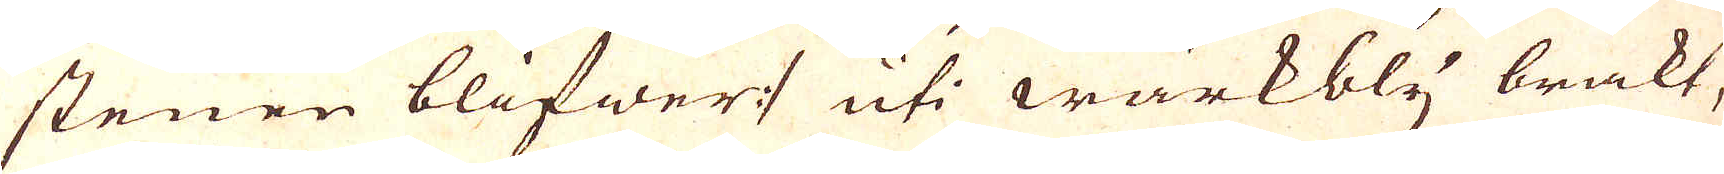stenen blifwer :/ uti wärkbly brakt,
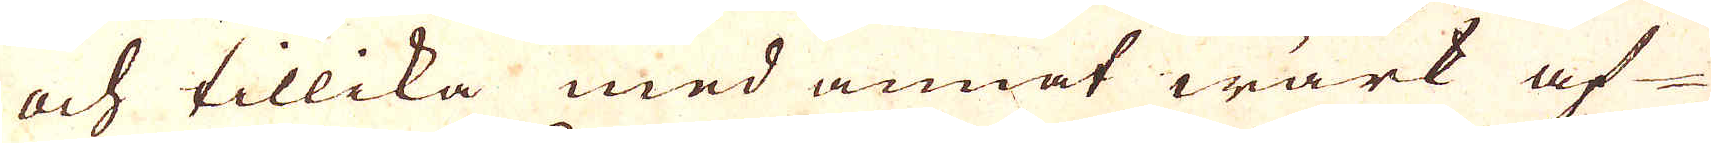och tillika med annat wärk af
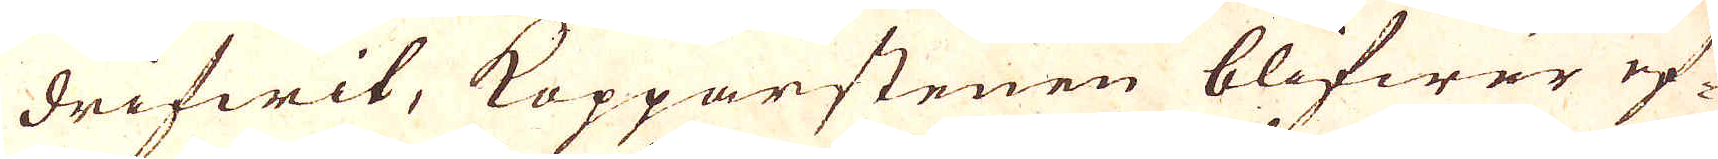drifwit, Kopparstenen blifwer ef-
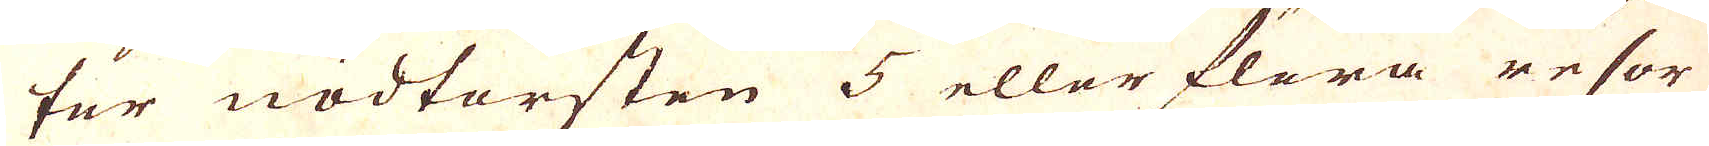ter nödtorften 5 ellor flera resor
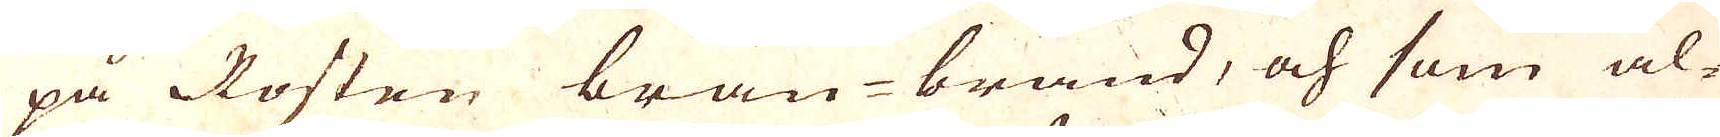på Rosten brän-bränd, och som al-
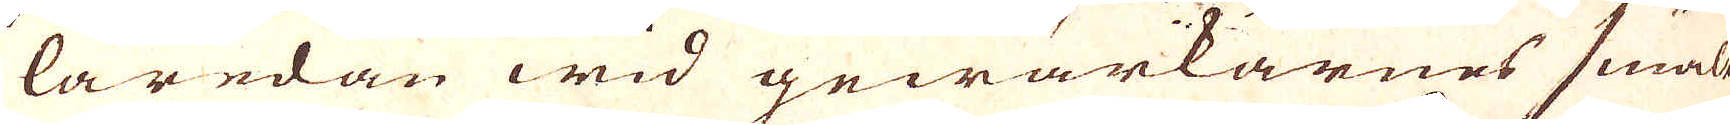laredan wid gewärkarnes smält
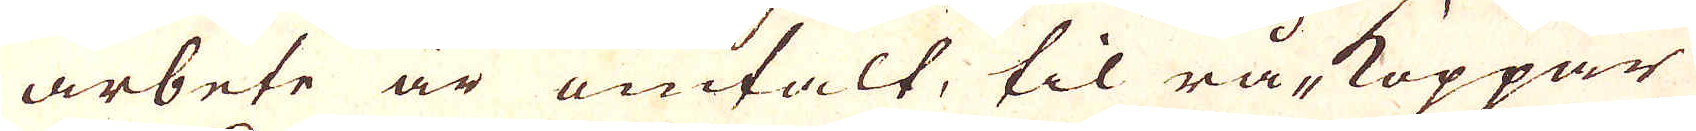arbete är omtalt, til rå-koppar
